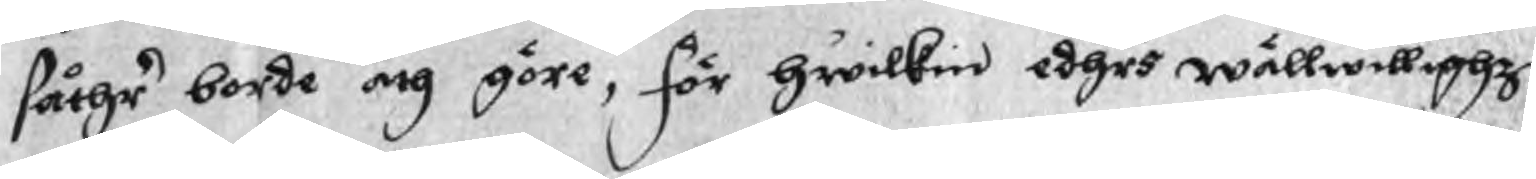såthr borde och göre, för hwilkin edhrs wällwillighz
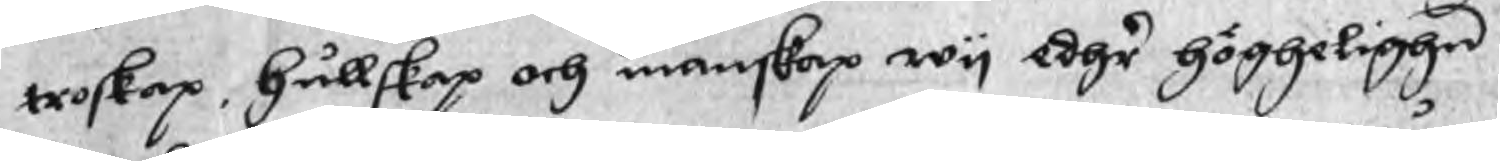troskap, hullskap och manskap wy edhr höghelighn
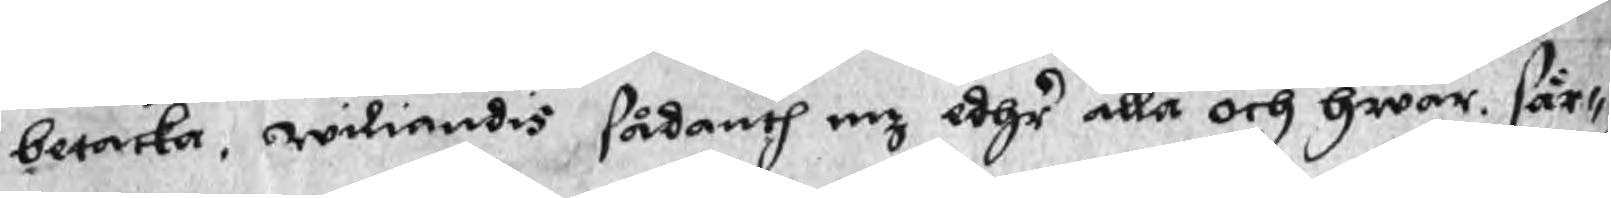betacka, wiliandis, sådanth nz edhr alla och hwar sär¬
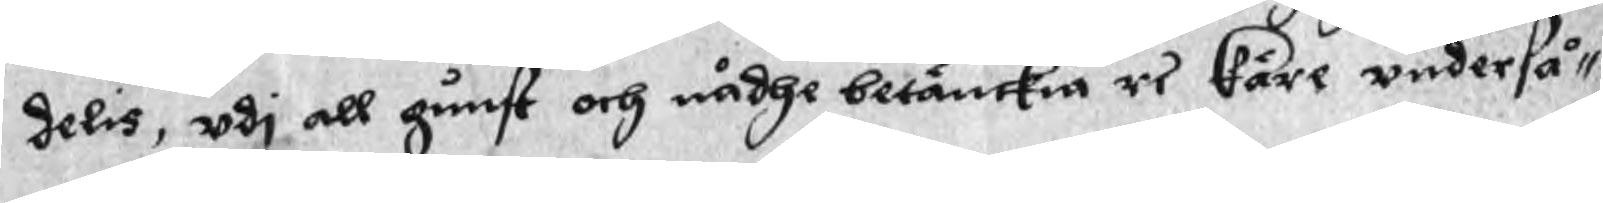delis, uti all gunst och nådhe betänckia rs käre underså¬
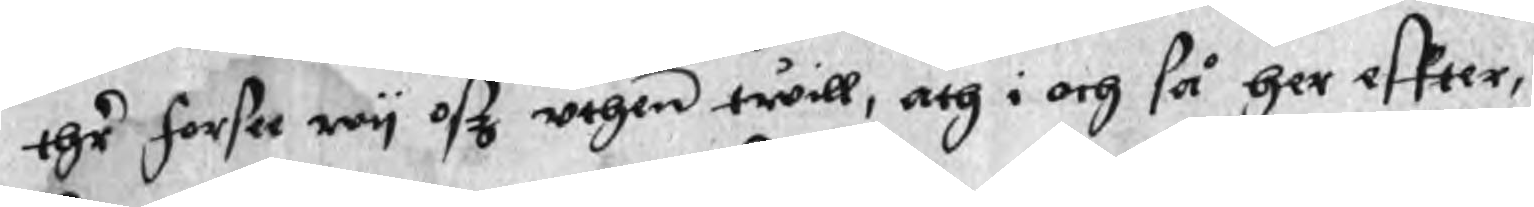ehr forsee wy oßz uthen twill, och i och så her effter,
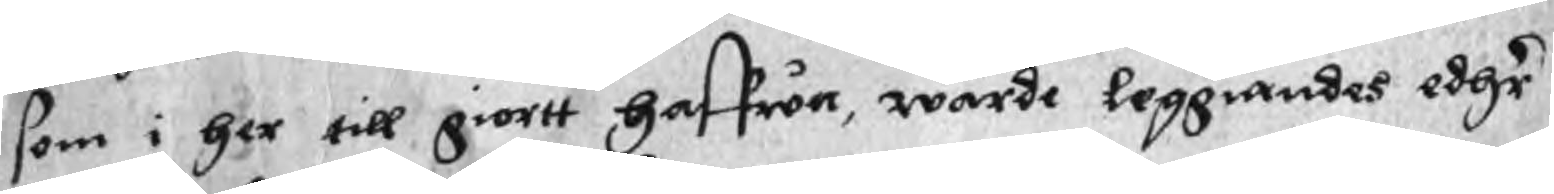som i her till giortt haffwa, warde leggiandes edhr
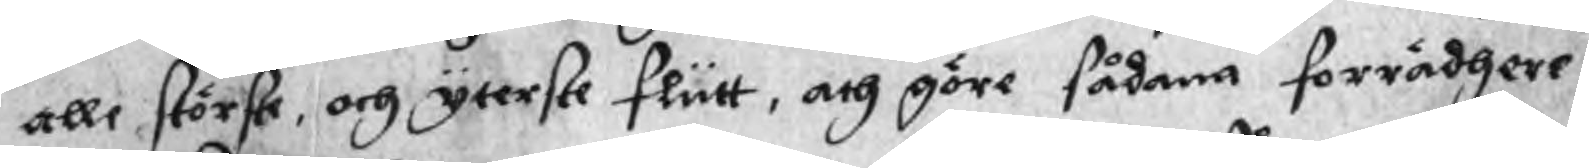alle störste, och yterste flutt, och göre sådana förrädhare
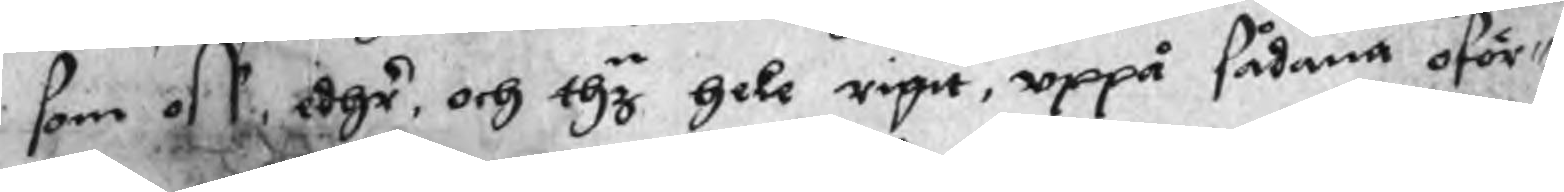som oss, edhr, och thy hele rigit, uppå sådana oför¬
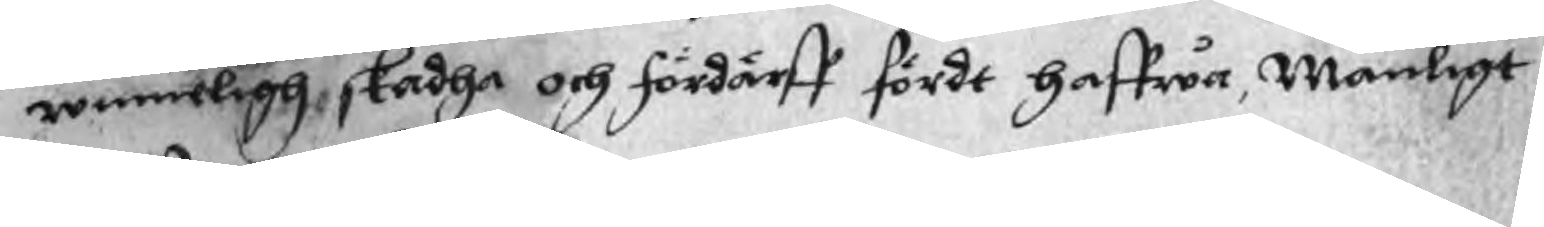winneligh, skadha och fördärff fördt haffwa, Manligt
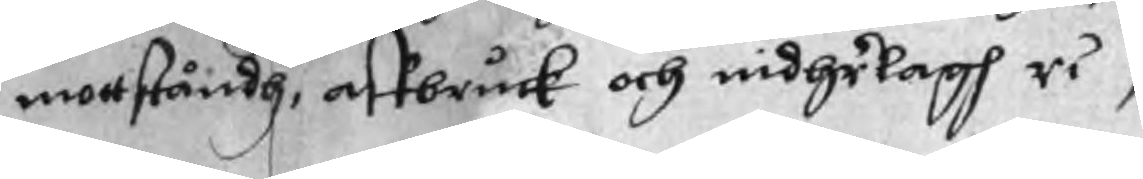mottståndh, affbruck och nidhelagh ri,
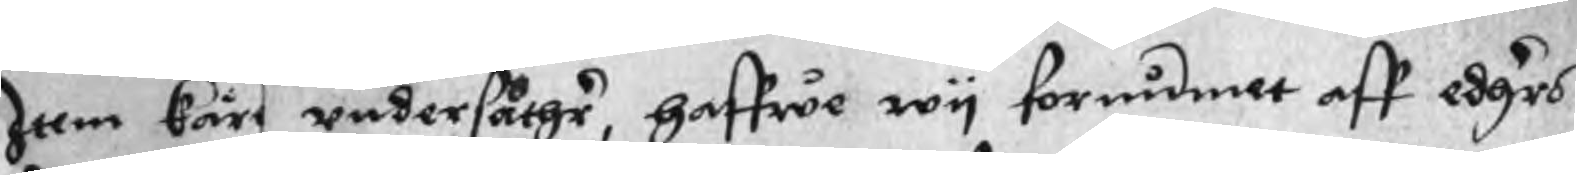Item käre undersåthr, haffwe wy fornidmete aff edhrs
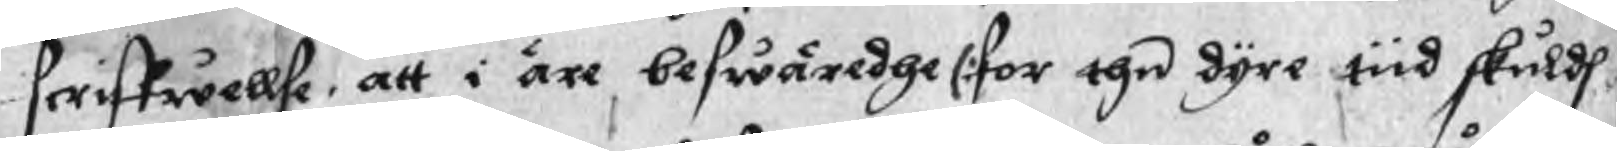scriffwellse, att i äre beswäredhe (:for the dyre tiid skuldh
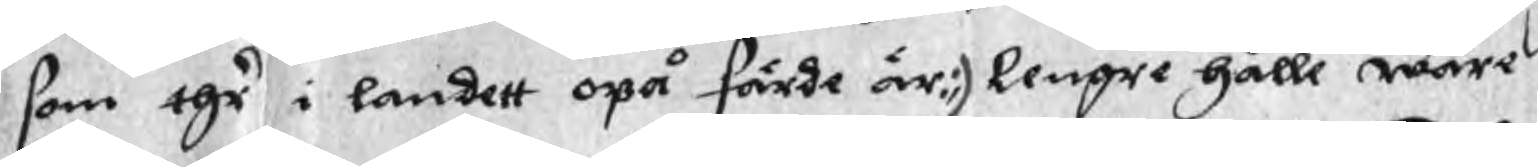som thr i landett opå färde är:) lengre hålle wåre
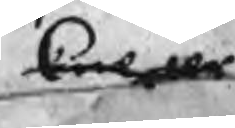Knecter 
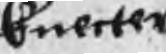Knecter
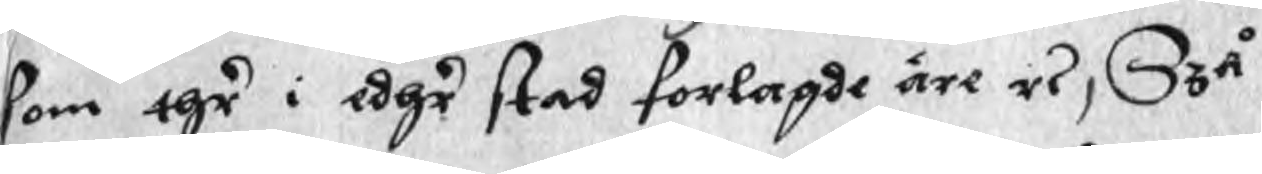som thr i edhr stad forlagde äre ri, Szå
